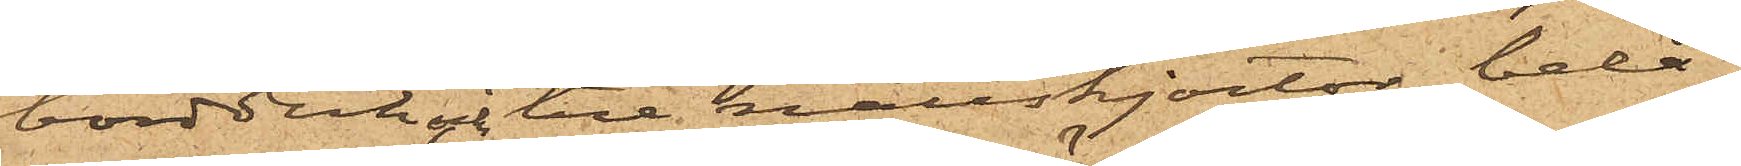bordduk och tre nattskjortor, belå¬
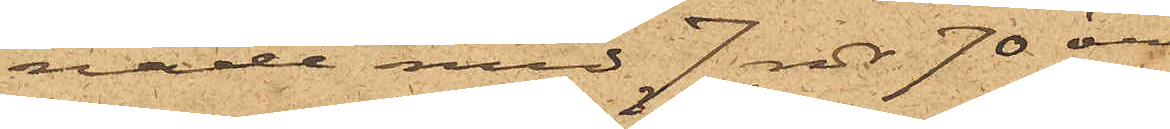nade med 7 rdr 70 öre,
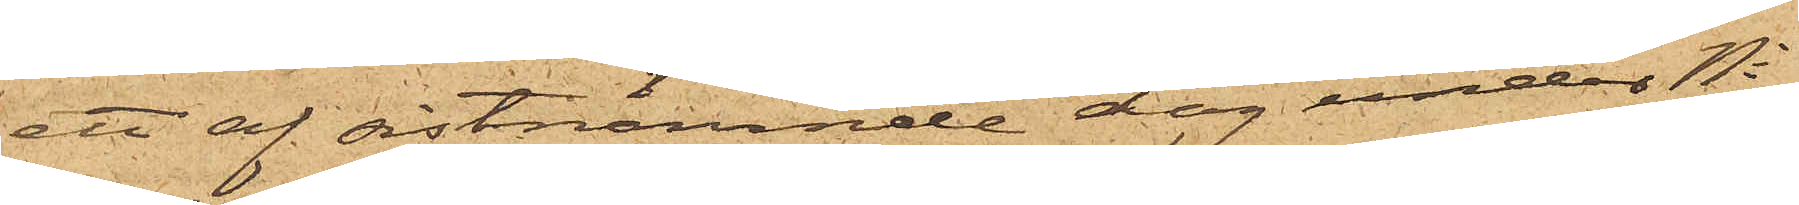ett af sistnämnde dag under No
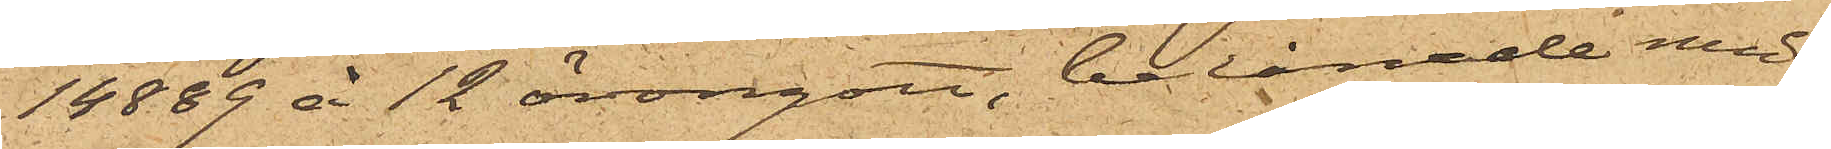14889 å 12 örngott, belånade med
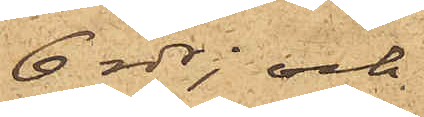6 rdr; och
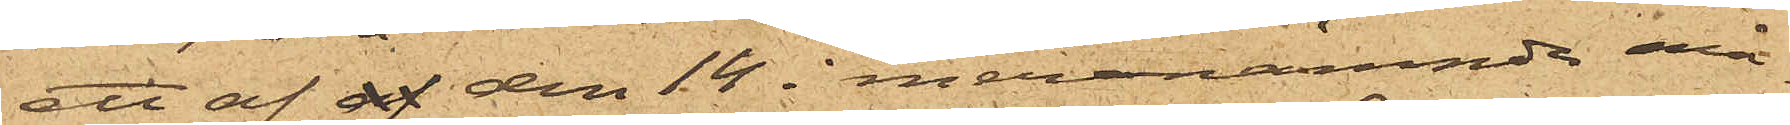ett af af den 14 i meranämnde må¬
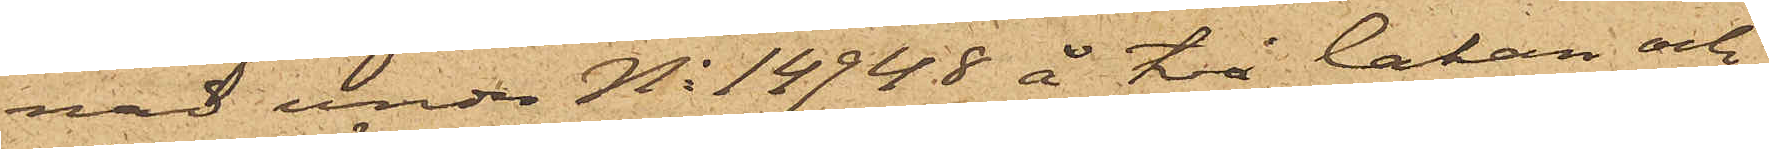nad under No 14948 å två lakan och
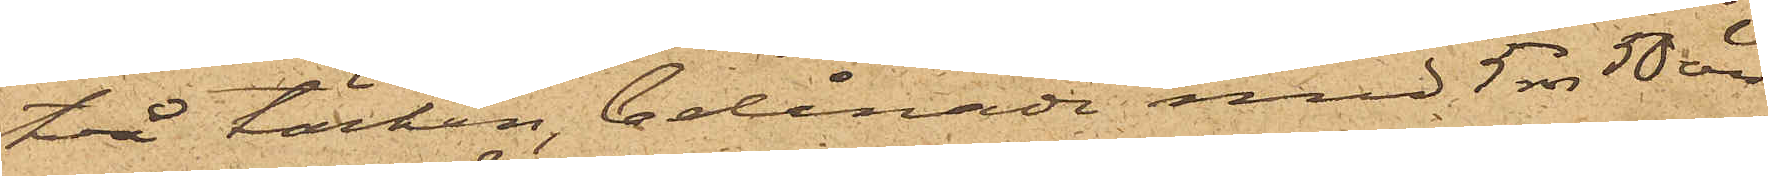två täcken, belånade med 5 rdr 50 öre
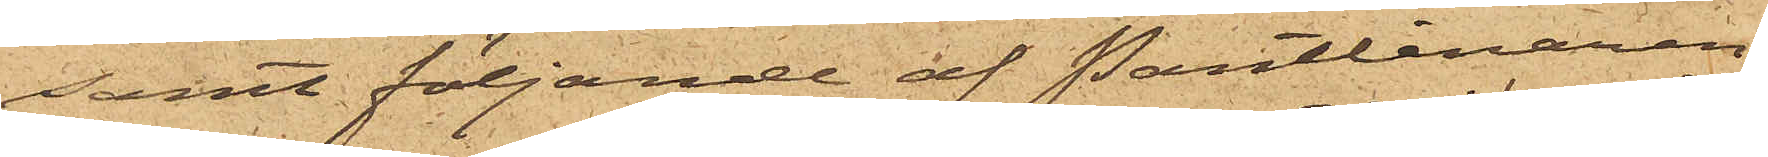samt följande af Pantlånaren
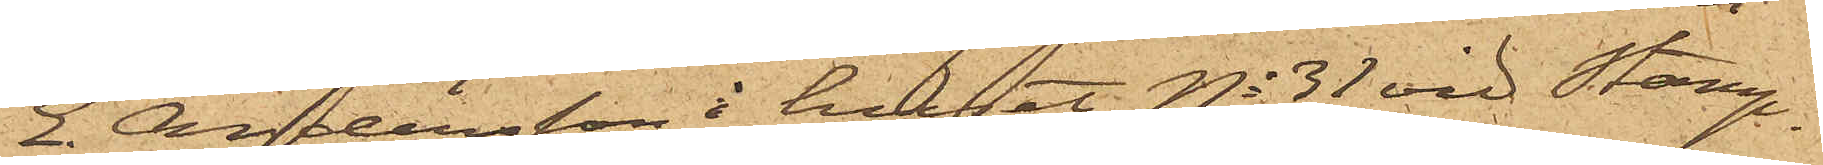E. Andersson i huset No 31 vid Stamp¬
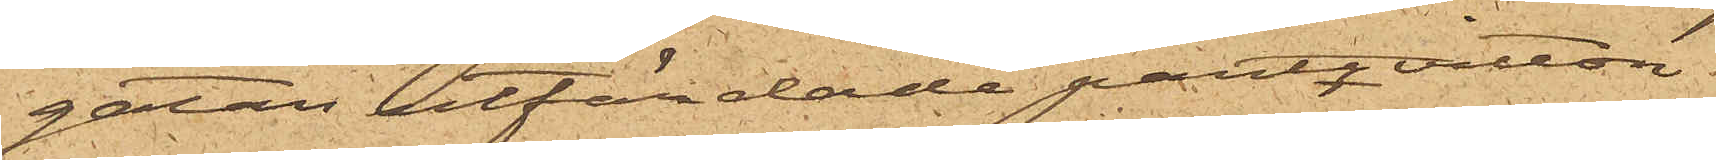gatan utfärdade pantqvitton
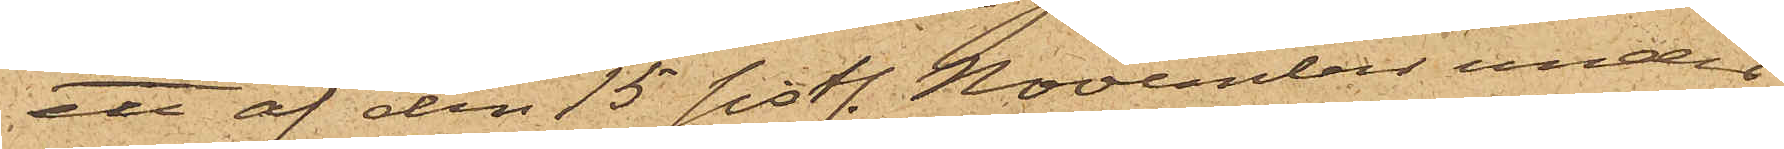ett af den 15 sistl. November under
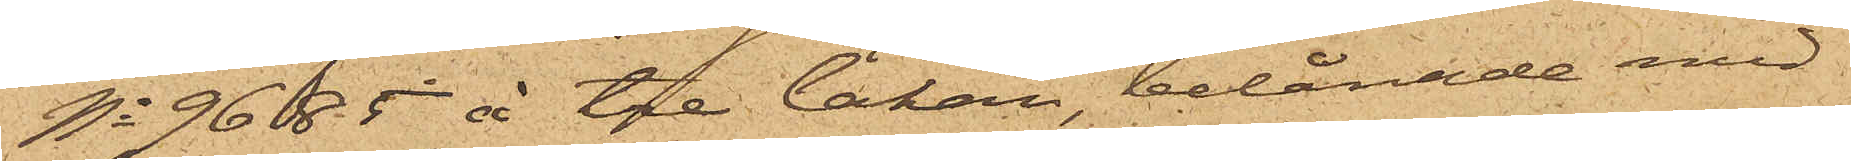No 9685 å tre lakan belånade med
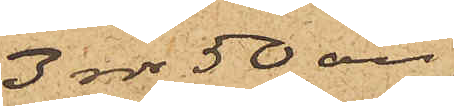3 rdr 50 öre,
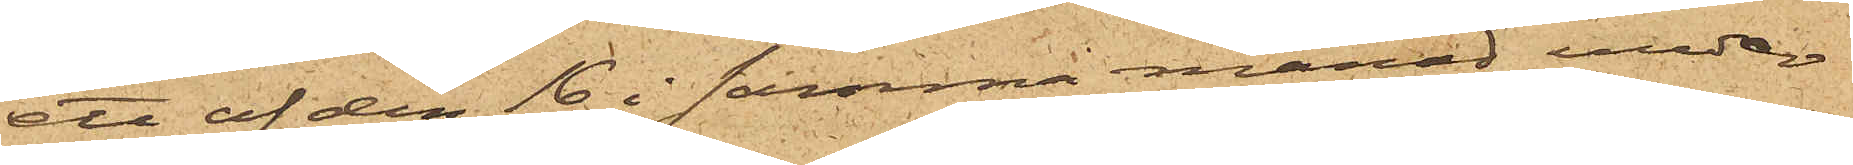ett af den 16 i samma månad under
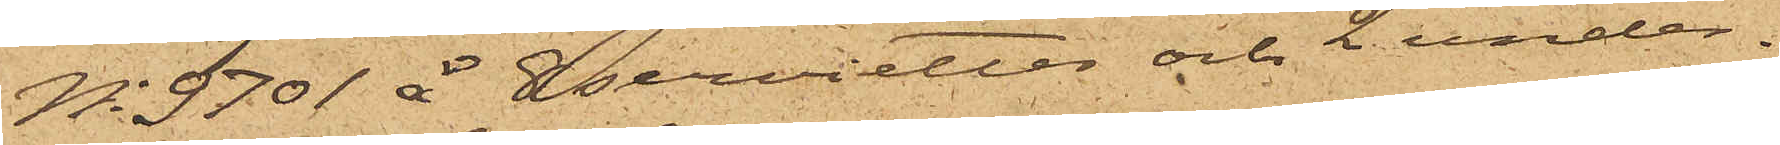No 9701 å 8 servietter och 2 under¬
